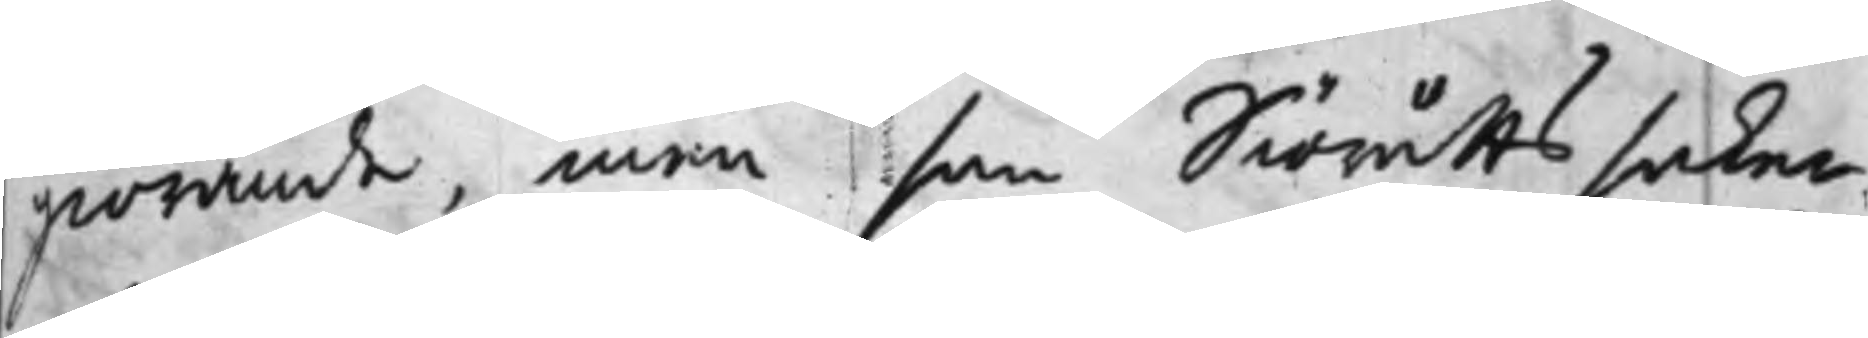giörande, men som Siörätts saker
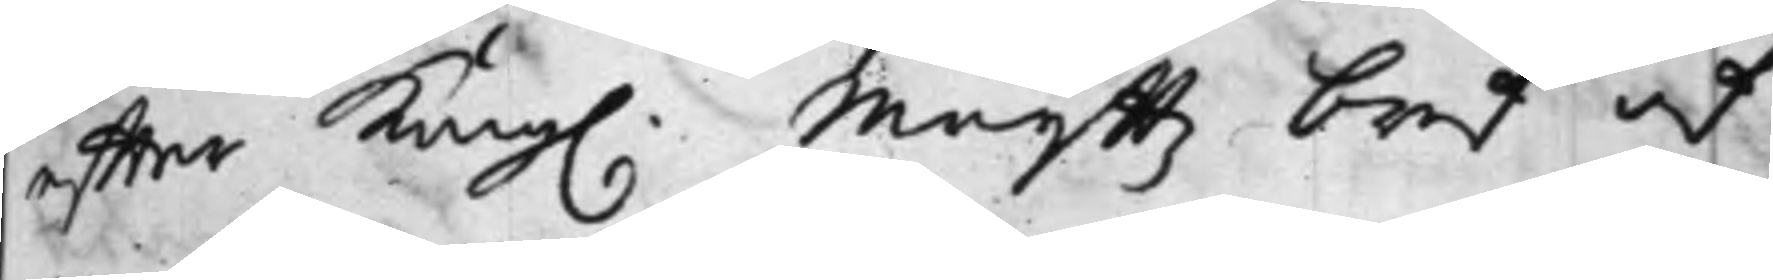effter Kong. Maijttz bref af
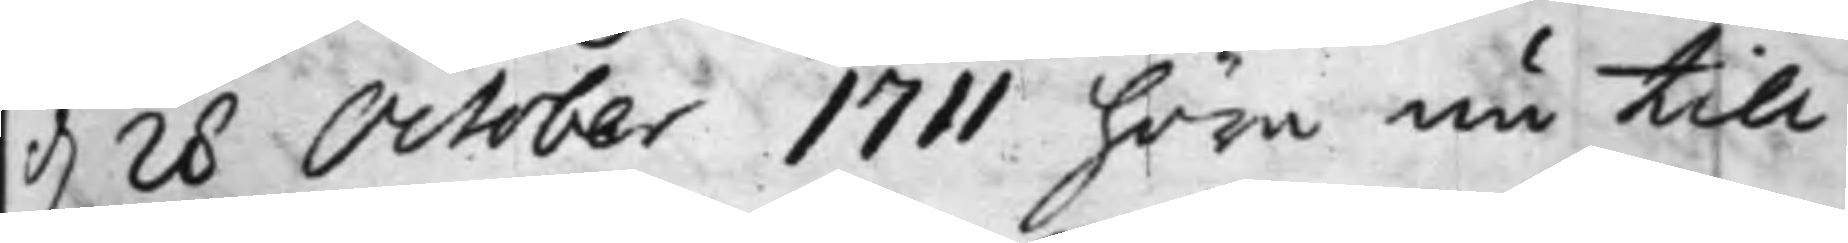d. 28 October 1711 höra nu till
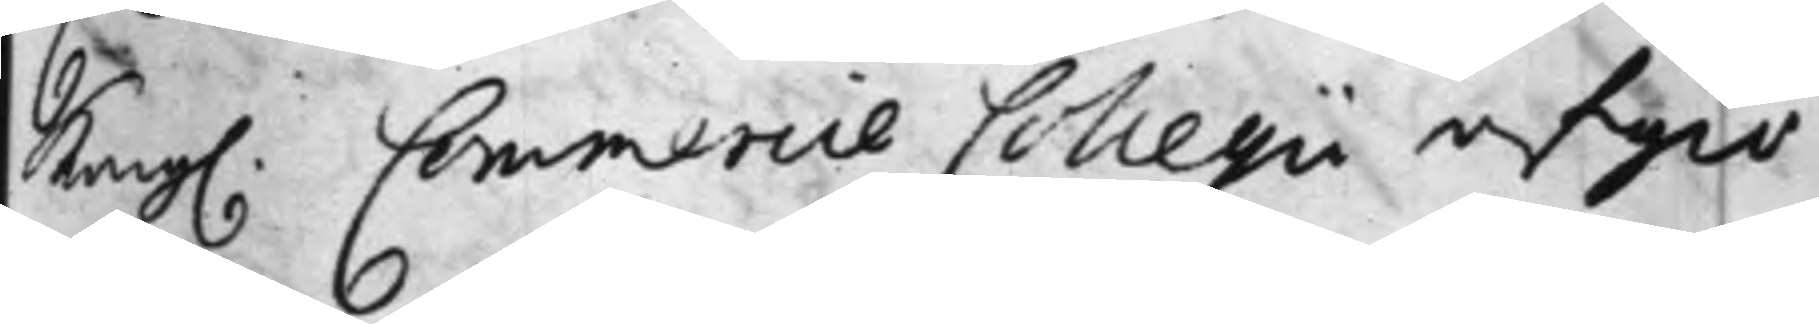Kong. Commercie Collegii afgiö¬
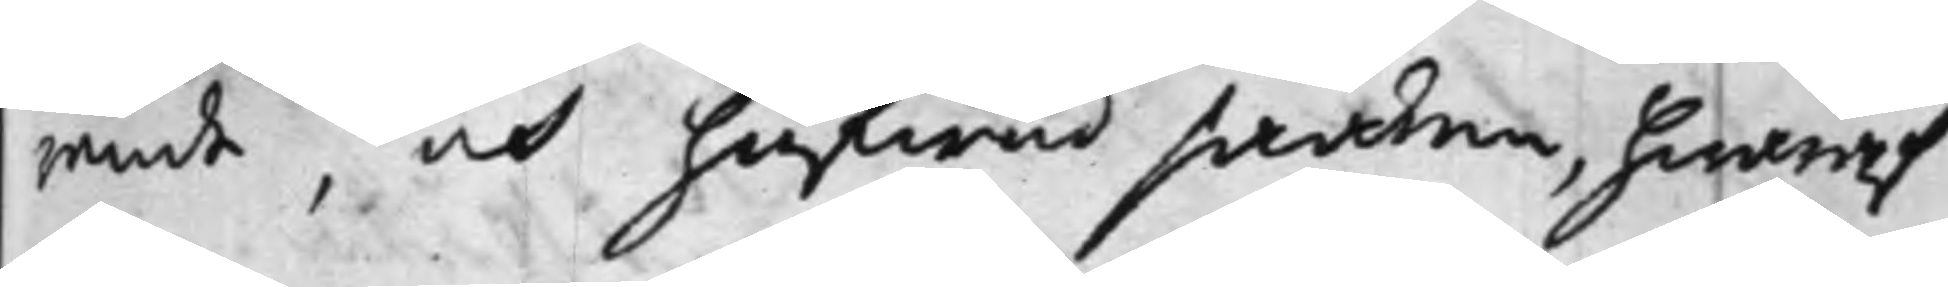rande, och hufwud saaken, hwaraf
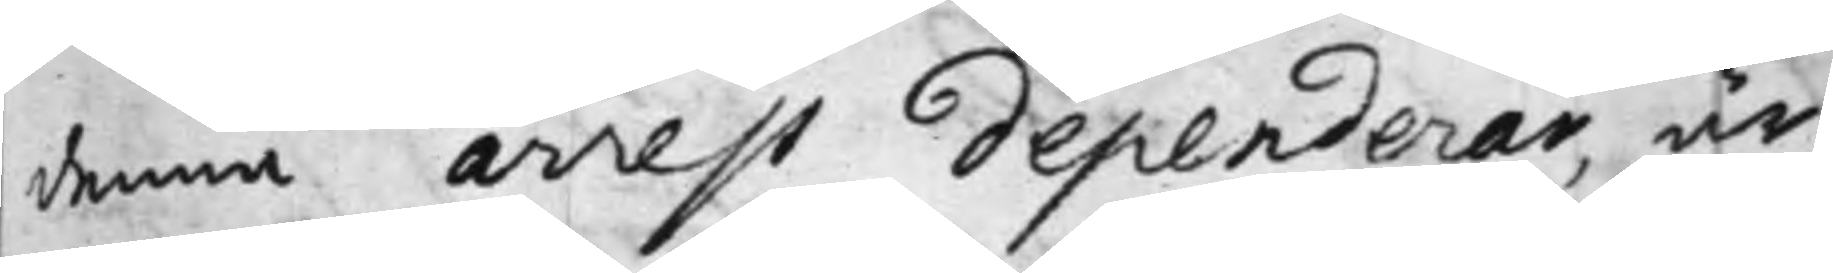denna arrest dependerar, är
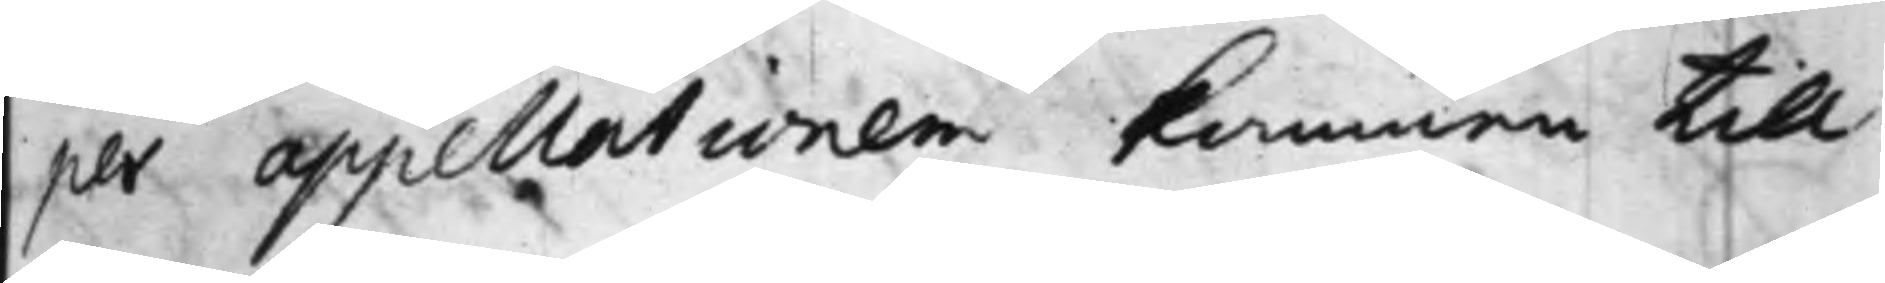per appellationen kommen till
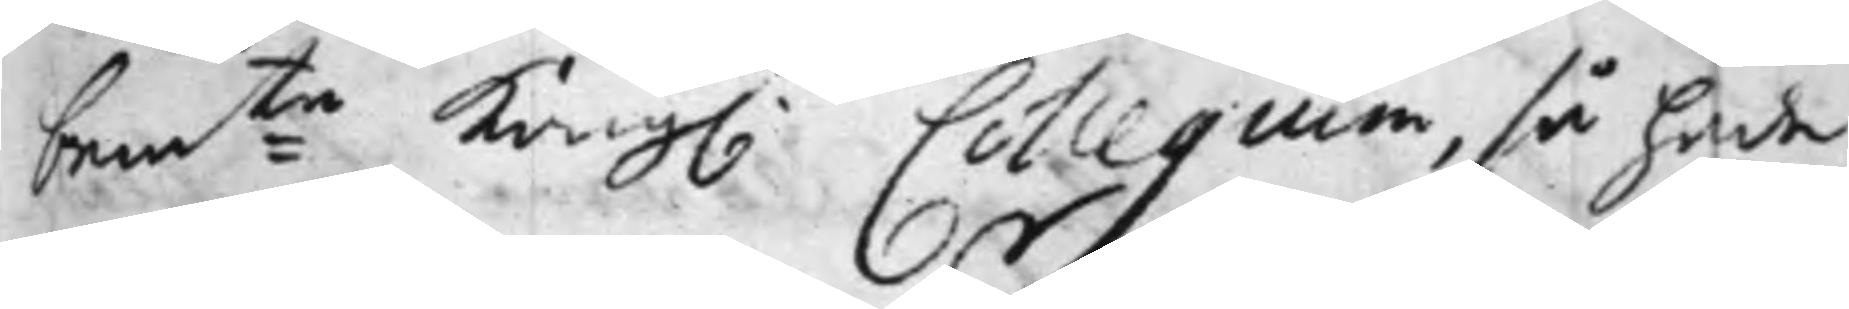bem Ko:te Kong. Collegium, så hade
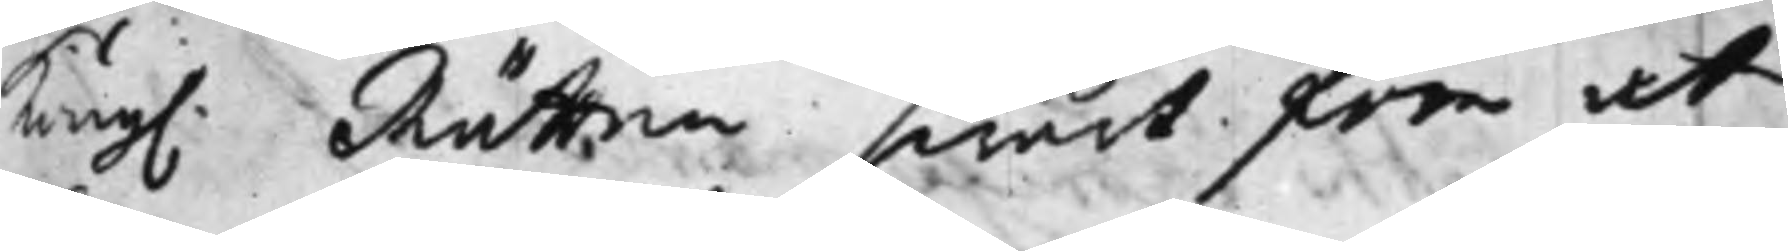Kong. Rätten swårt för at
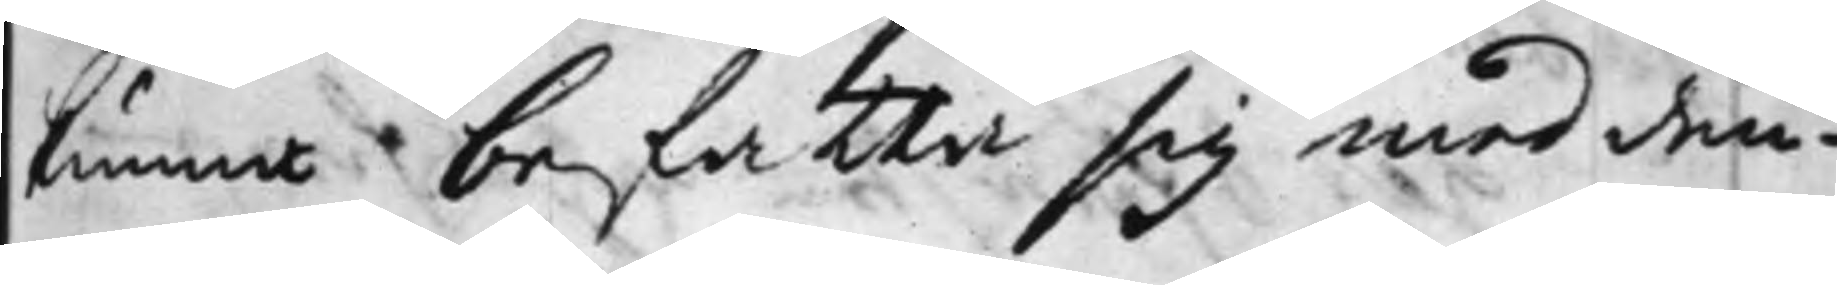kunna befatta sig med den¬
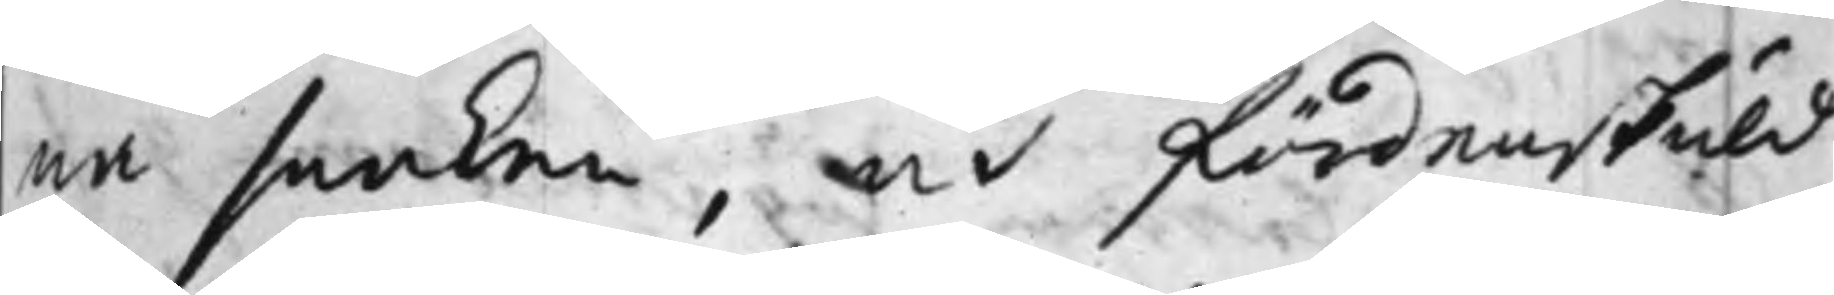na saaken, at fördenskuld
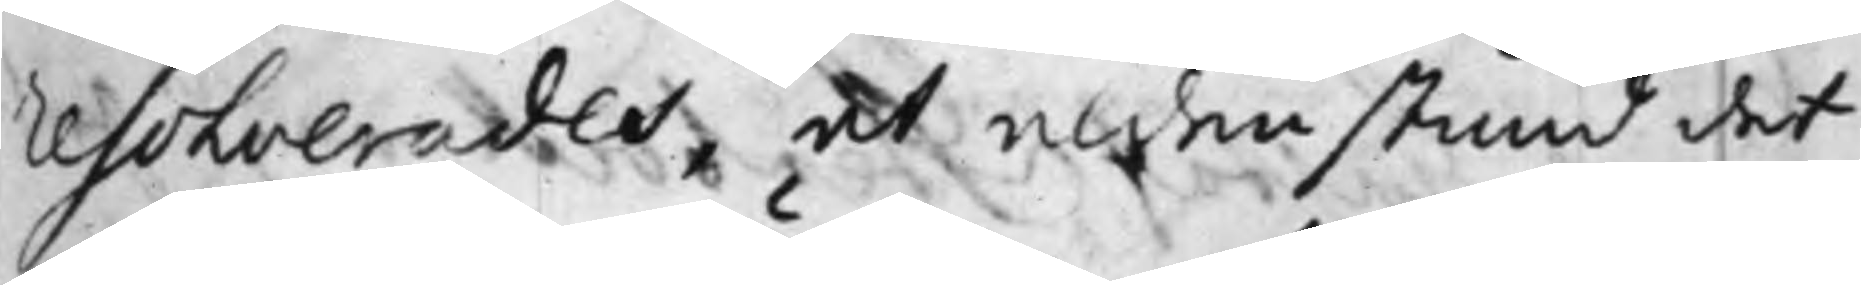Resolverades, det aldenstund det
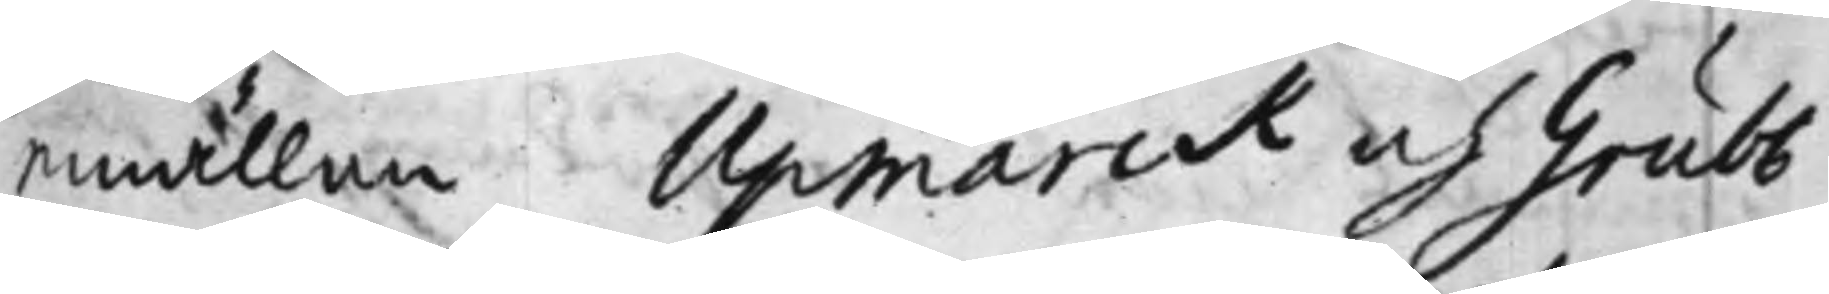emällan Upmarck och Grubb
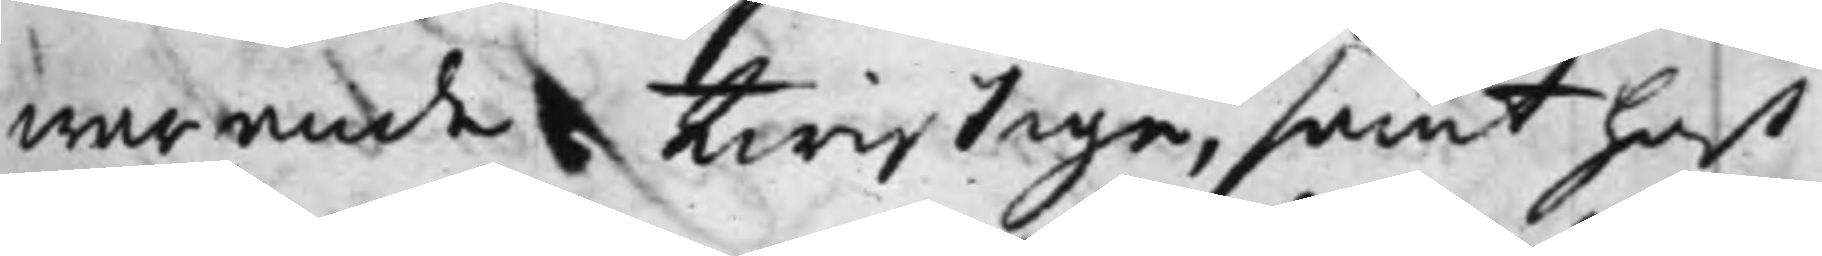warande twistige, samt hos
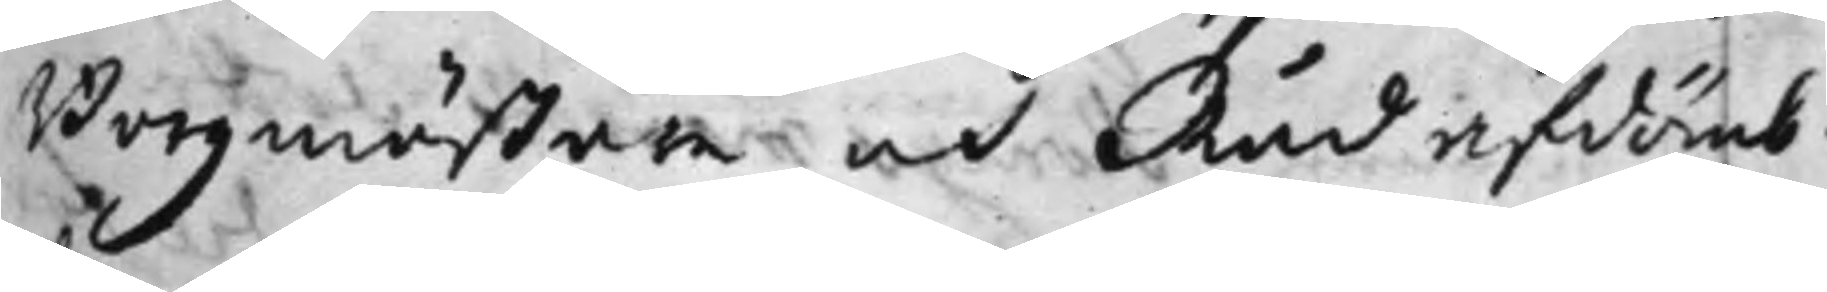Borgmästare och Råd afdömb¬
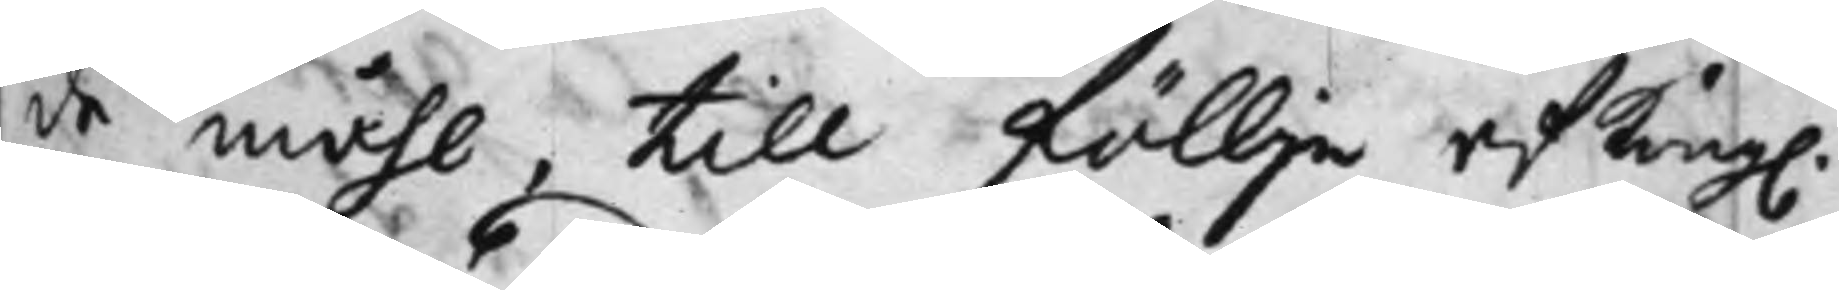de måhl, till föllje af Kong.
